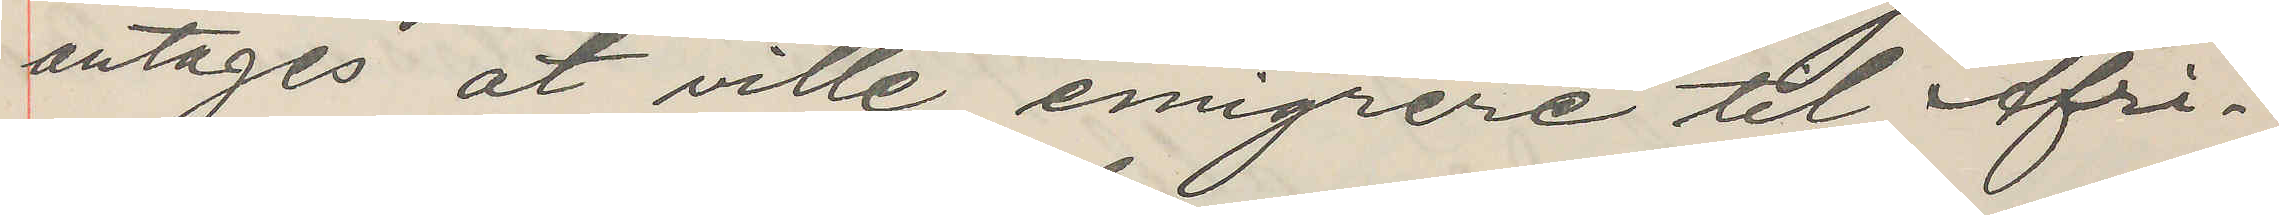antages at ville emigrere til Afri¬
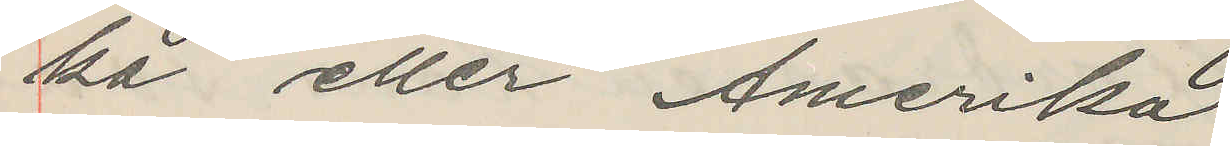ka eller Amerika.
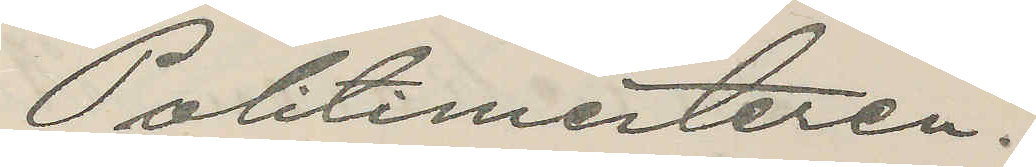Politimesteren.
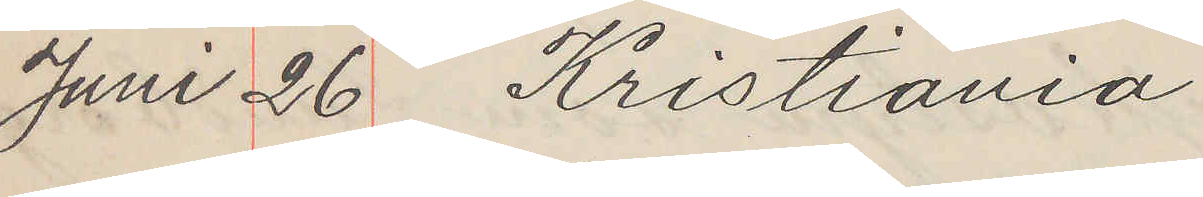Juni 26 Kristiania
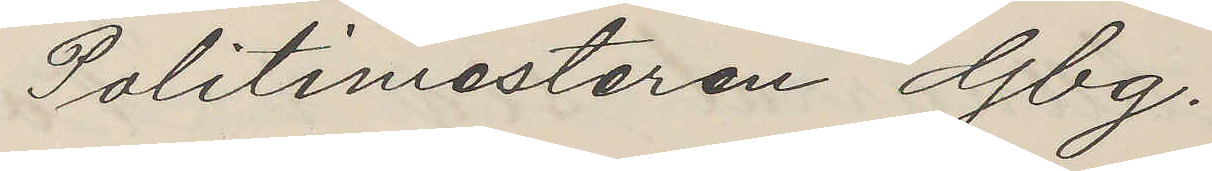Politimesteren Gbg.
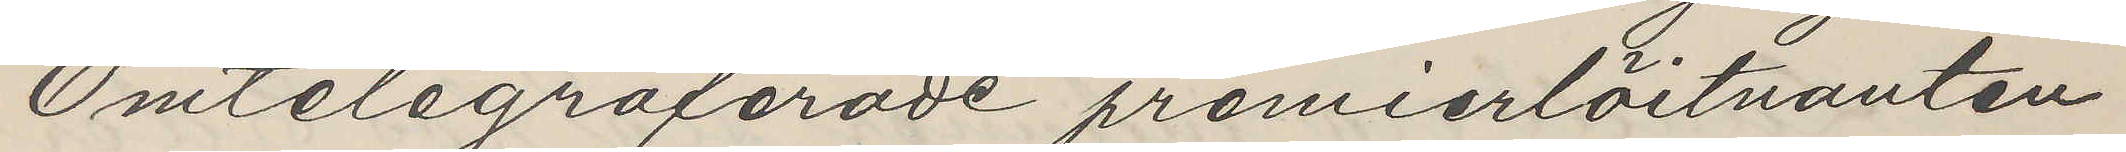Omtelegraferade premierlöjtnanten
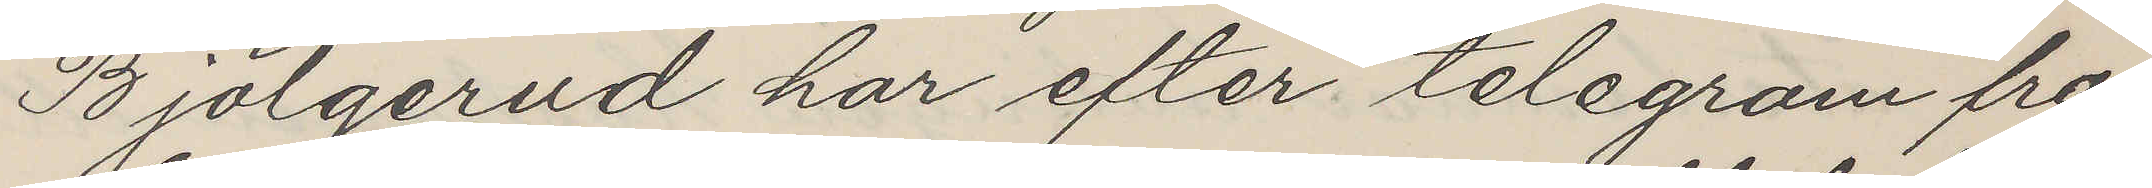Bjölgerud har efter telegram fra
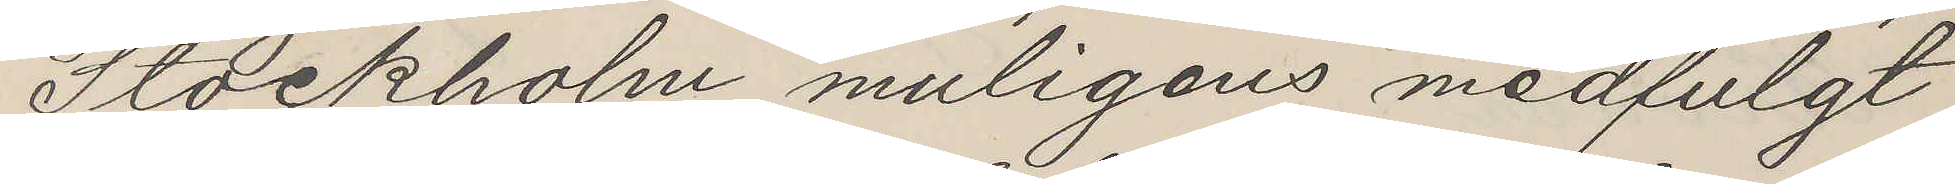Stockholm muligens medfulgt
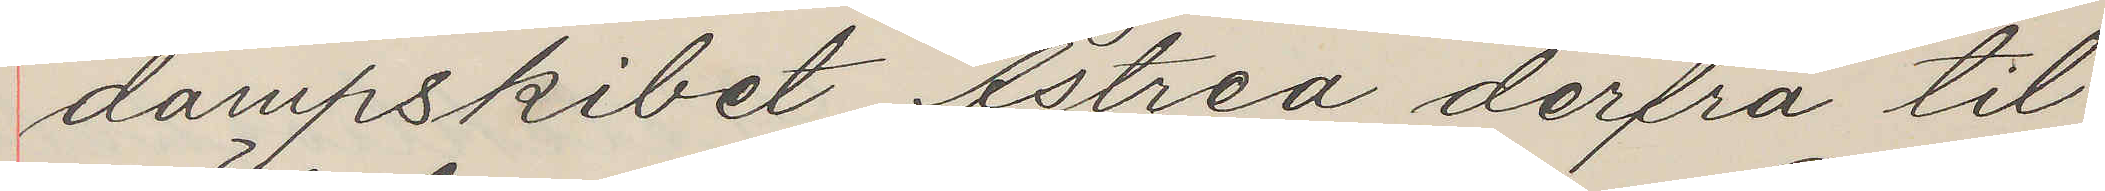dampskibet Astrea derfra til
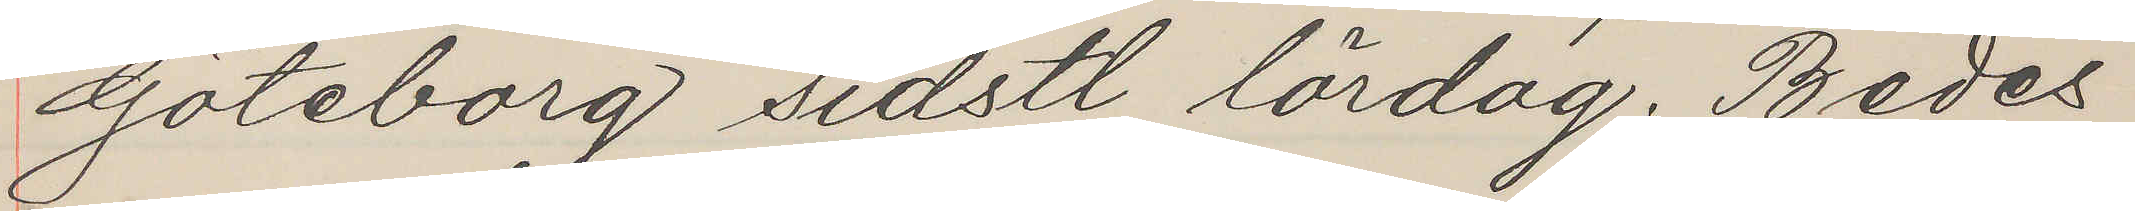Göteborg sidstl lördag. Bedes
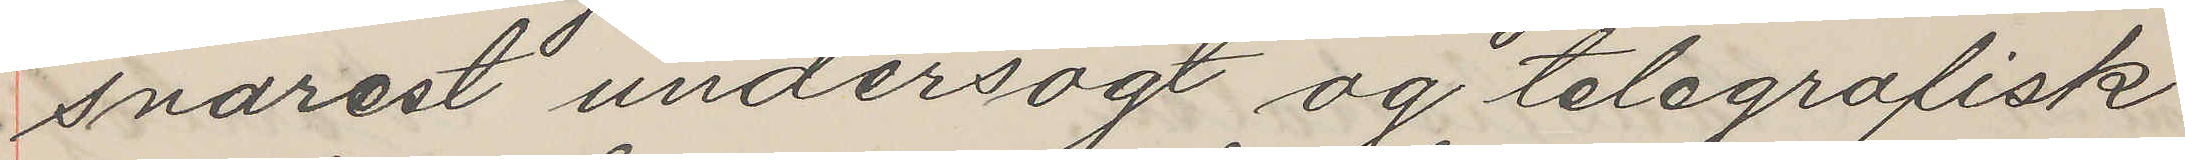snarest undersögt og telegrafisk
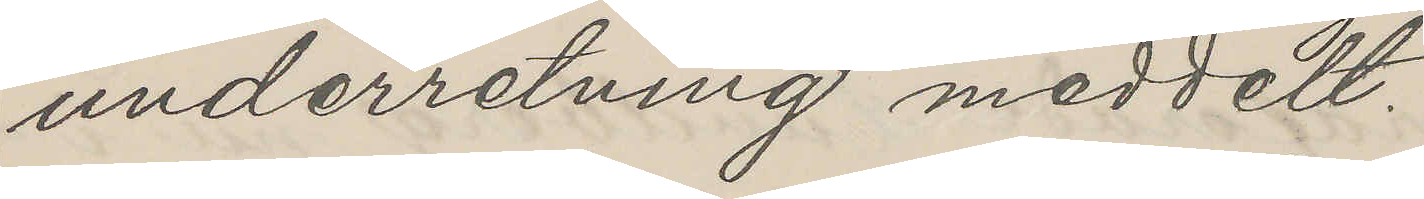underretning meddelt.
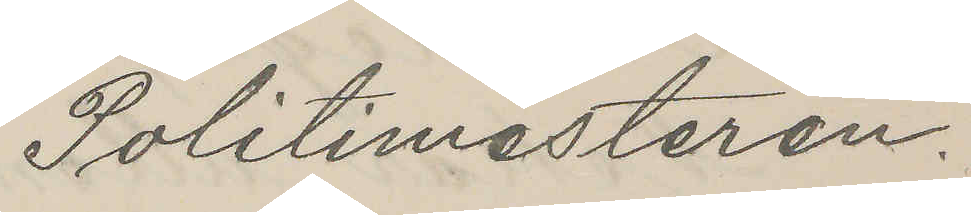Politimesteren.
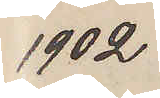1902
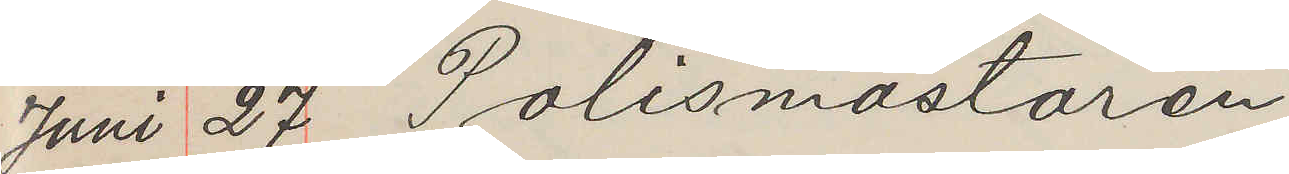Juni 27 Polismästaren
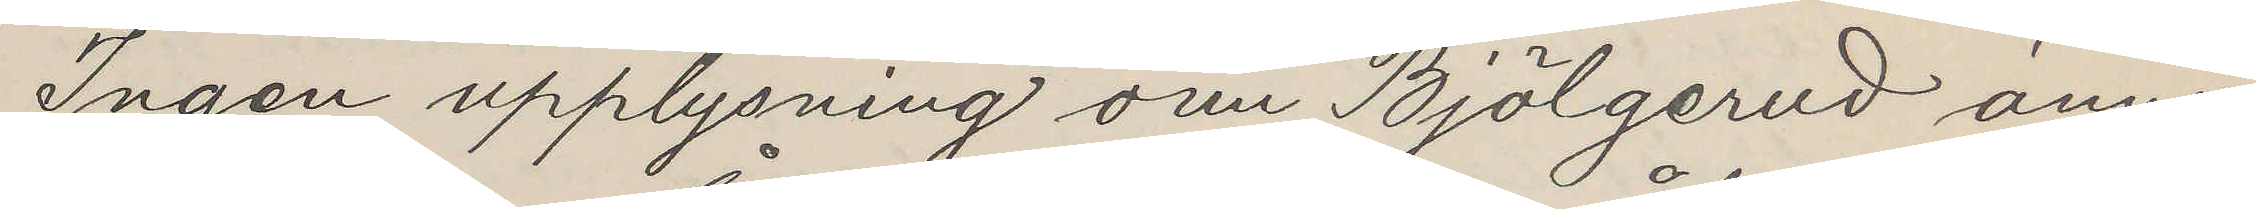Ingen upplysning om Bjölgerud ännu
